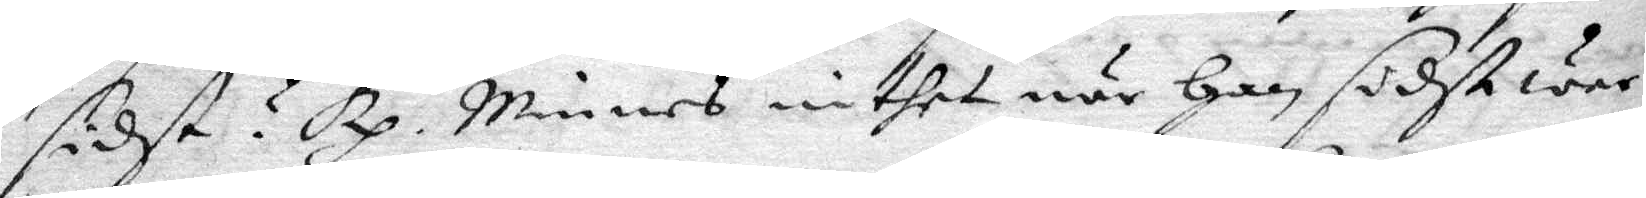sidst? Rp. Minnes inthet när Han sidst war
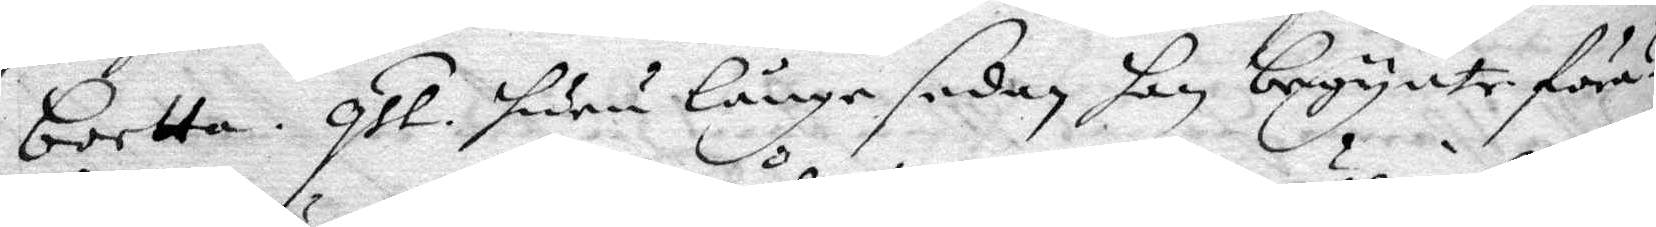borta. qst. huru länge sedan han begynte föra?
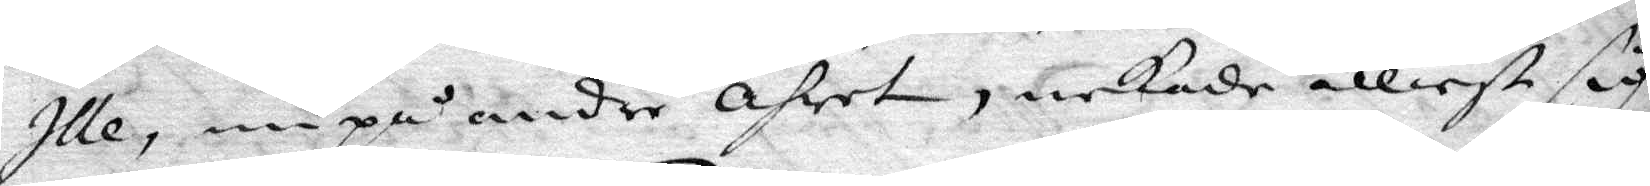Ille, nu på andra åhret, nekade elliest sig
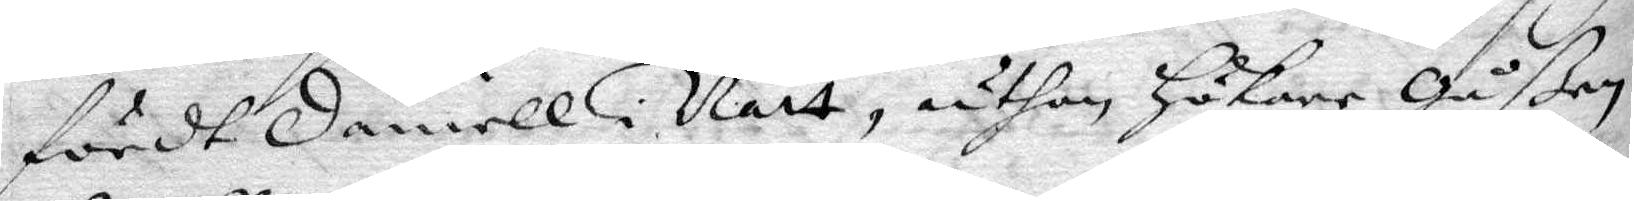fördt Daniell i natt, uthan Hökare Gåßen
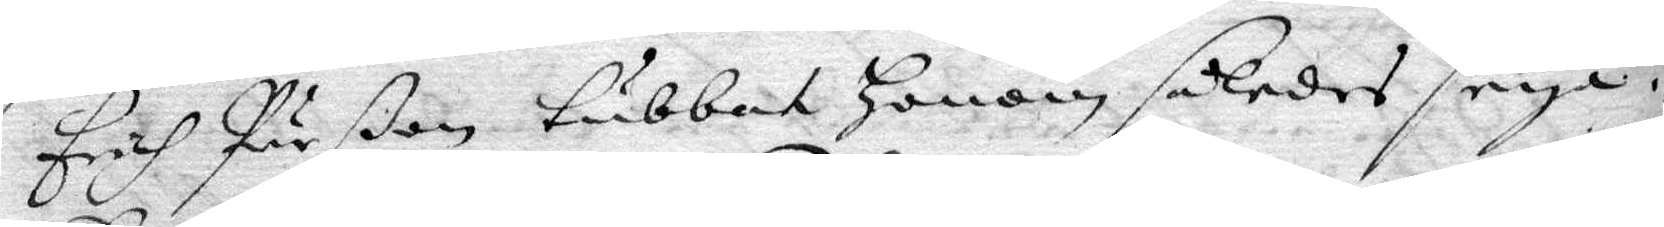Erich Pärßon tubbat Honom således seya.
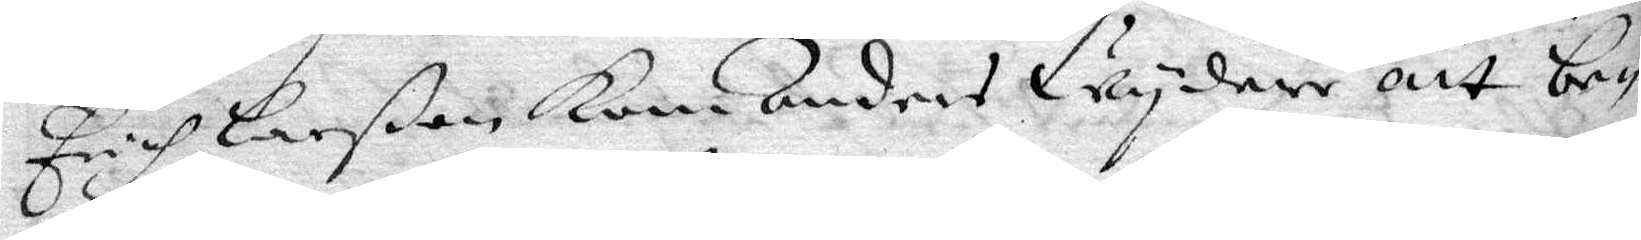Erich Larßon Kom Anders wydare att be¬
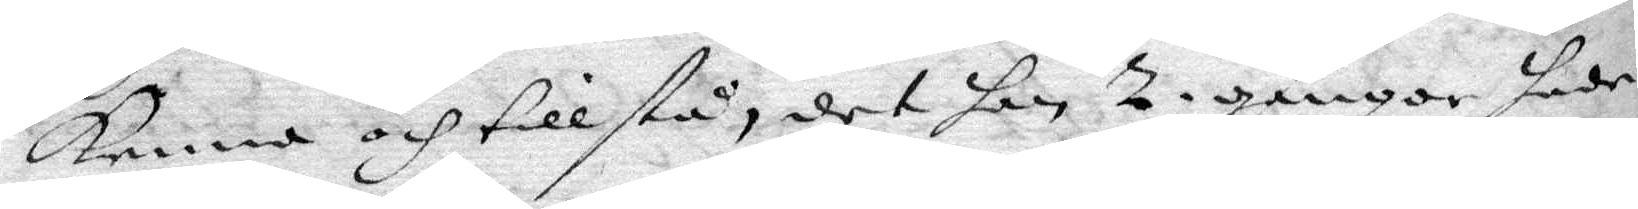kenna och tillstå, det han 2. gånger hade
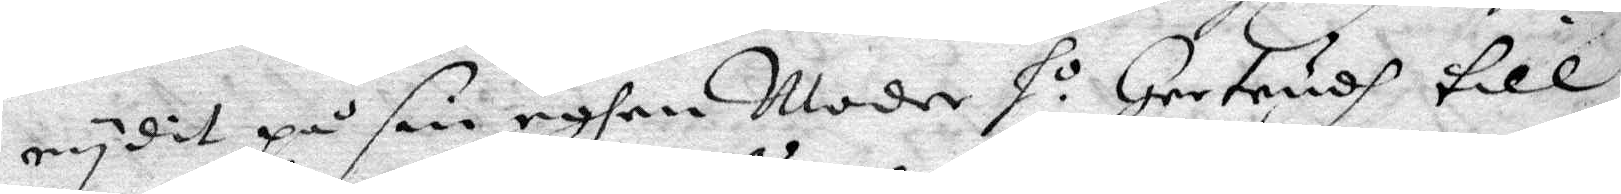rydit på sin eghen Moder h.o Gertrudh till
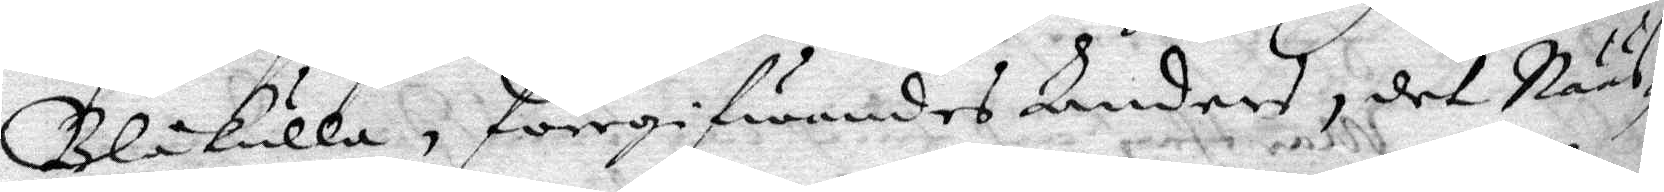Blåkulla, fröegifwandes Anders, det Nääs¬
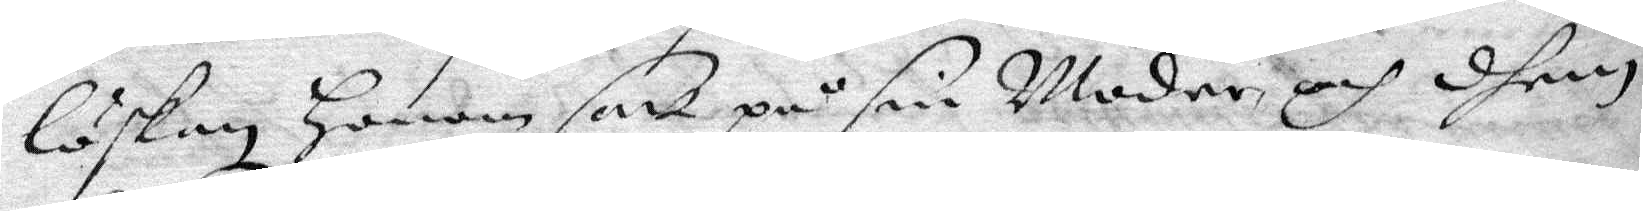löskan Honom satt på sin Moder och dhem
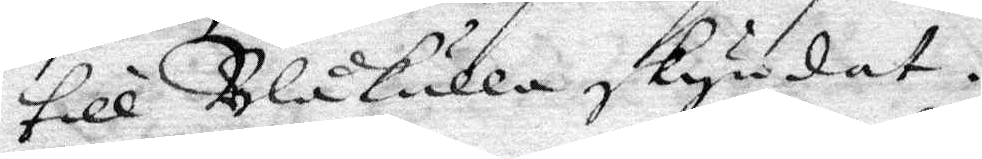till Blåkulla skyndat.
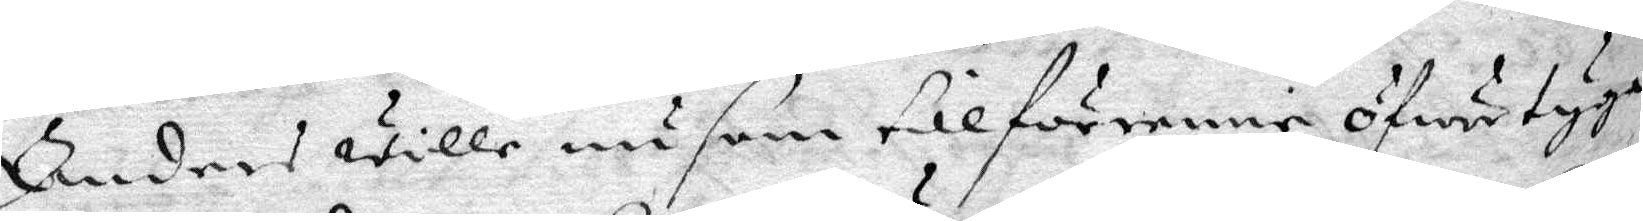Anders wille nu som tillförenne öfweryga
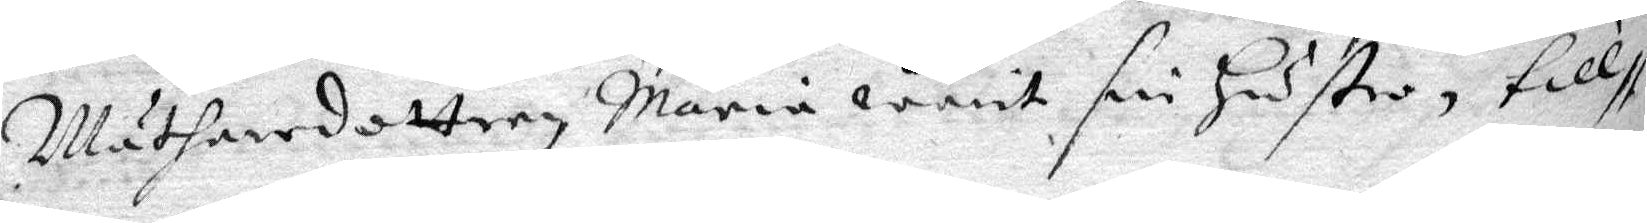Mätharedottern Maria warit sin Hustro, till
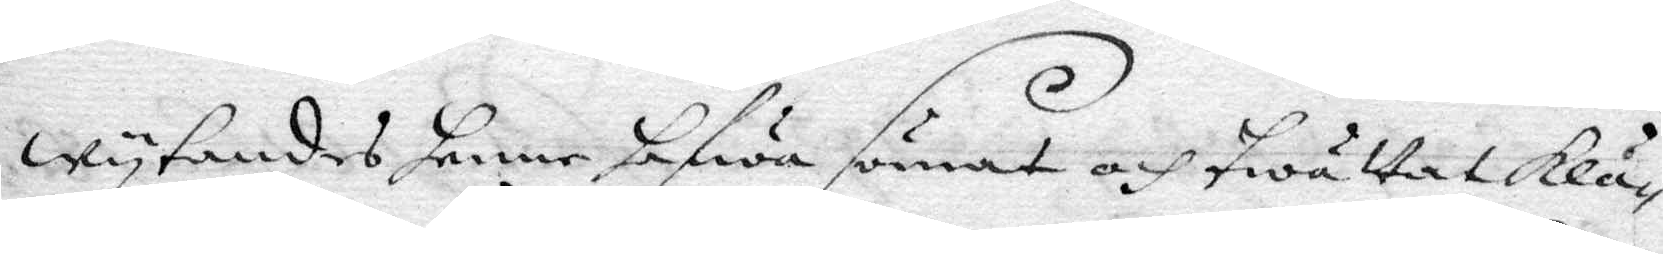wytandes henne hafwa sömat och twättat Klä¬
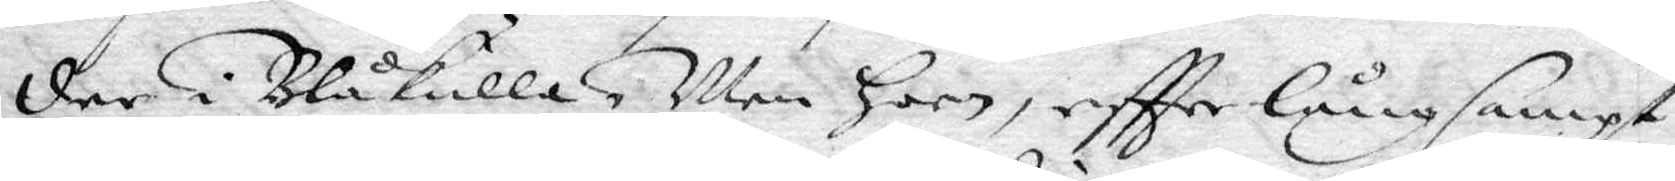der i Blåkulla. men Hon, eftter långsampt
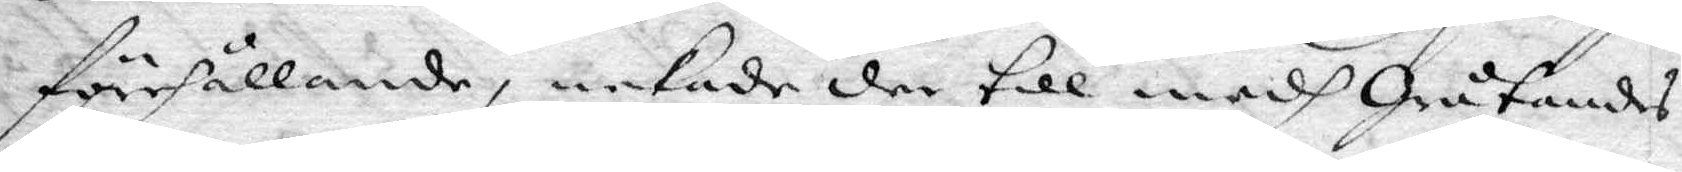förehållande, nekade der till edh Gråtandes
